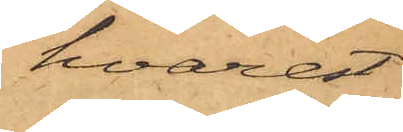hvarest
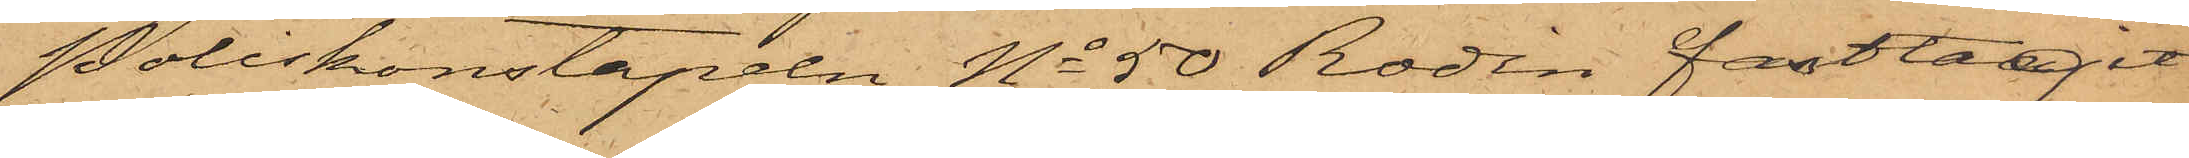Poliskonstapeln No 50 Rodin fasttagit
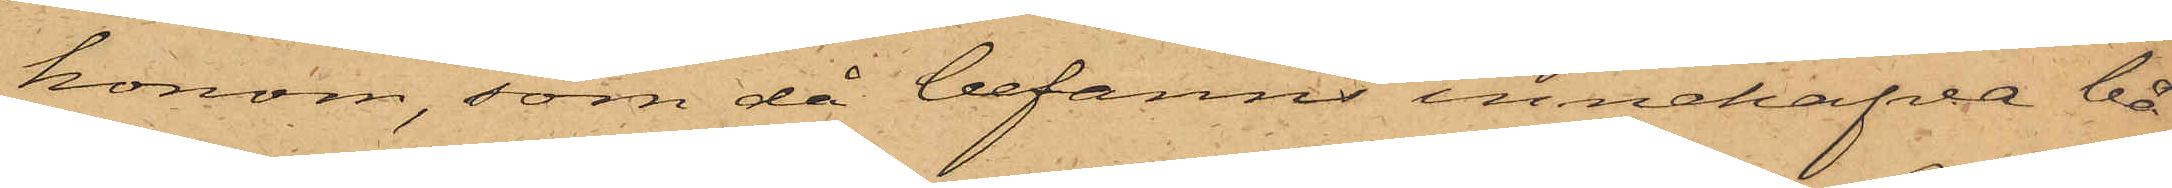honom, som då befanns innehafva bå¬
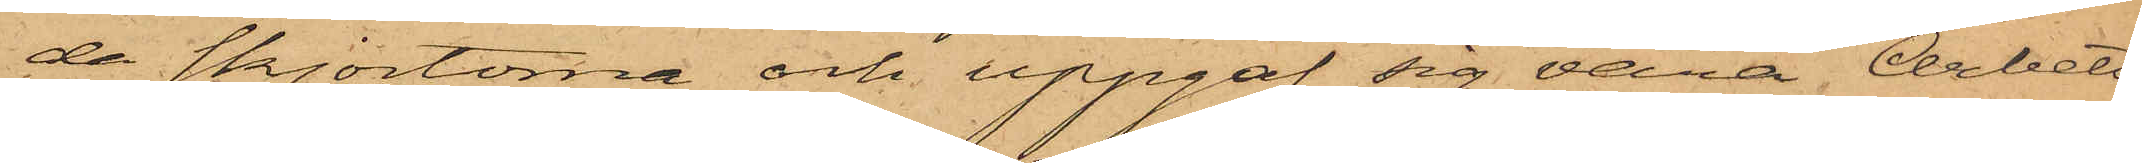da skjortorna och uppgaf sig vara Arbets¬
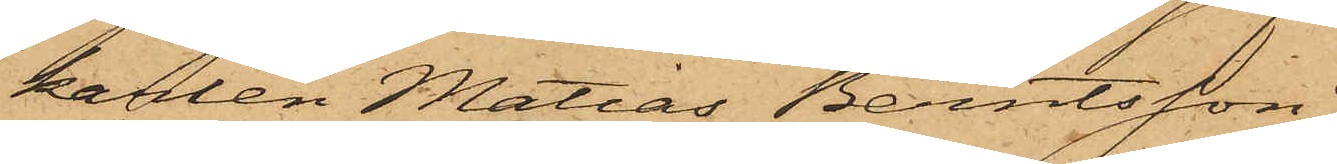karlen Matias Berntsson.
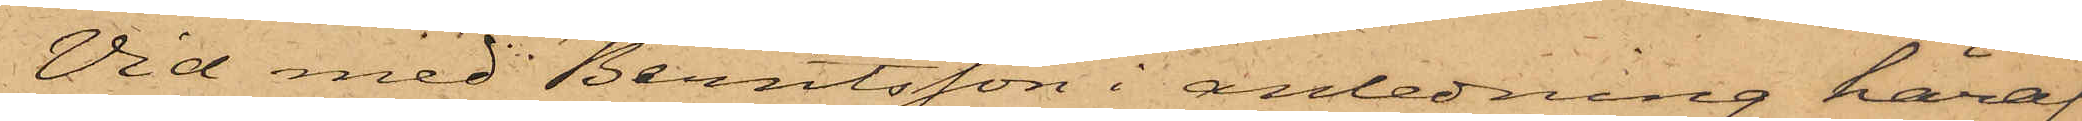Vid med Berntsson i anledning häraf
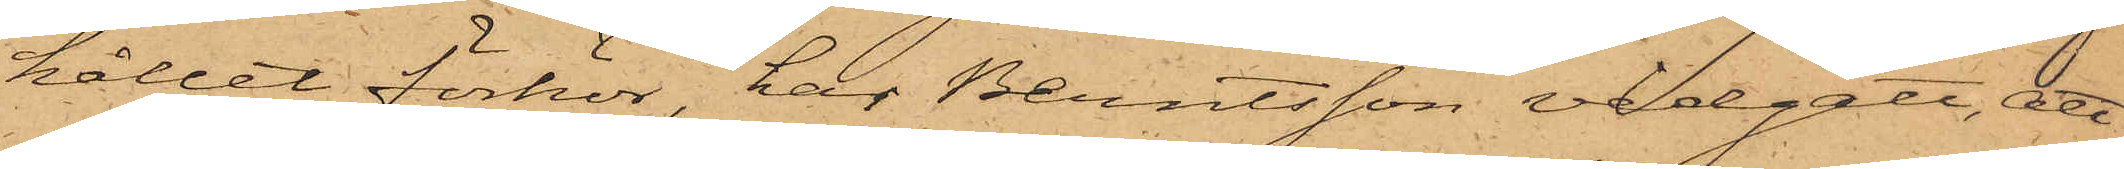hållet förhör, har Berntsson vidgått, att
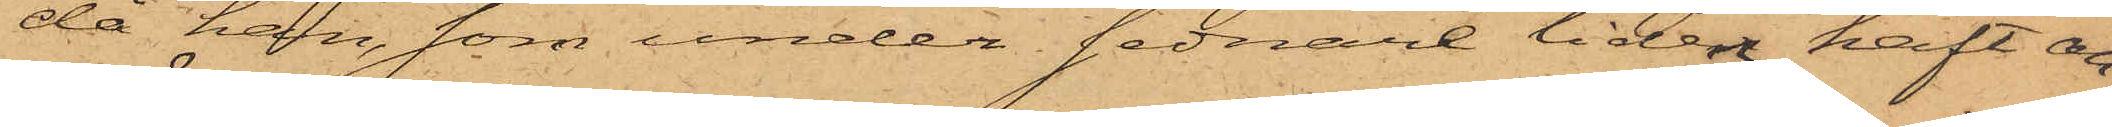då han, som under sednare tiden haft an¬
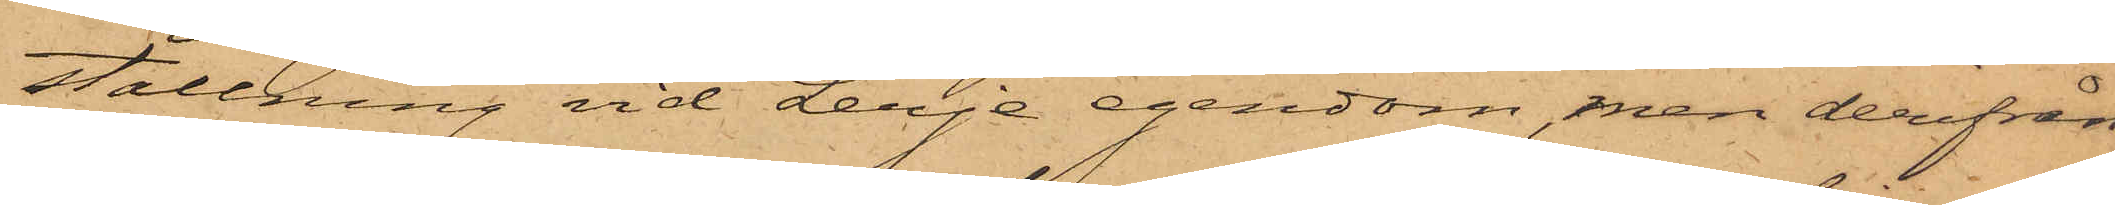ställning vid Lerje egendom, men derifrån
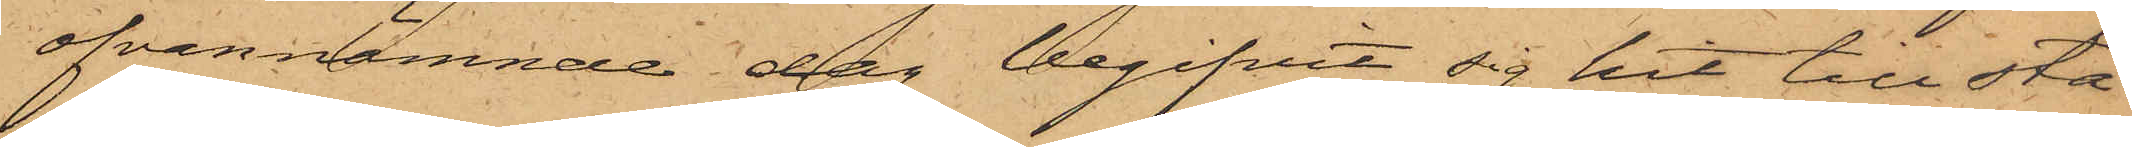ofvannämnde dag begifvit sig hit till sta¬
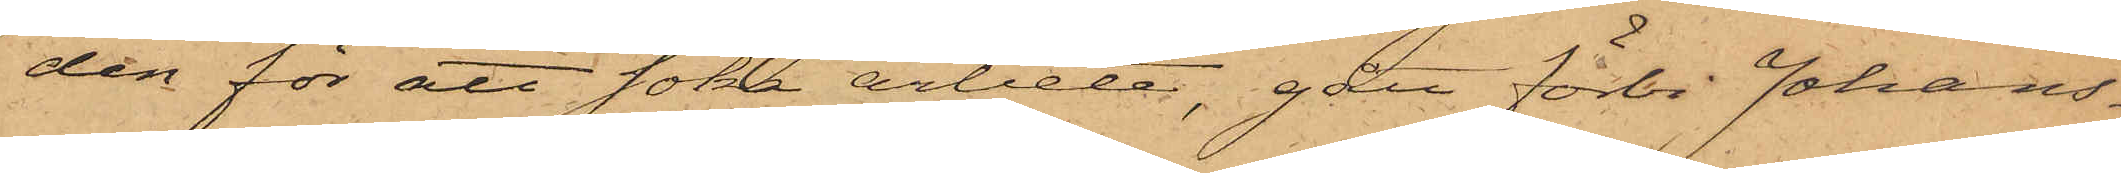den för att söka arbete, gått förbi Johans¬
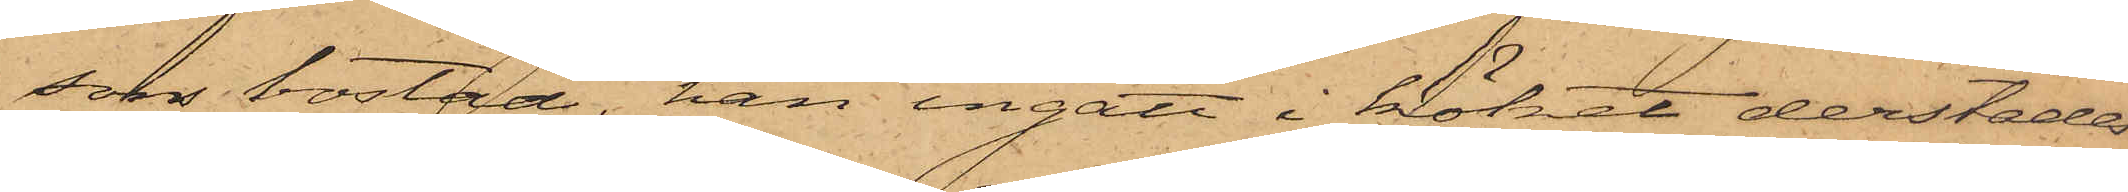sons bostad, han ingått i köket derstädes
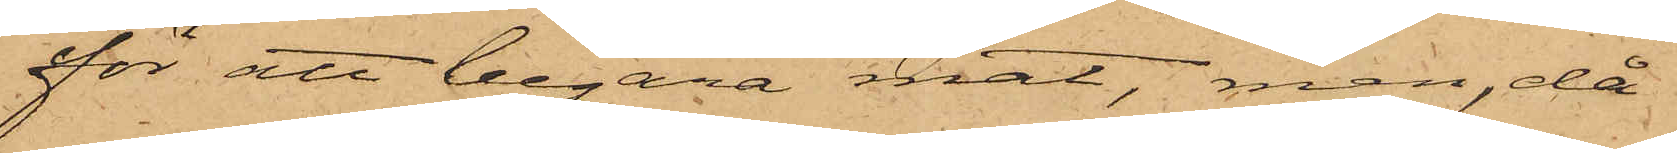för att begära mat, men, då
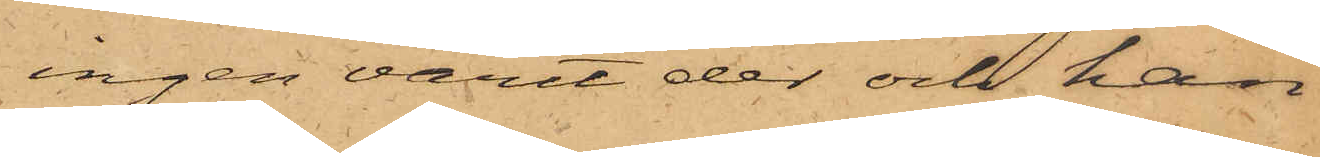ingen varit der och han
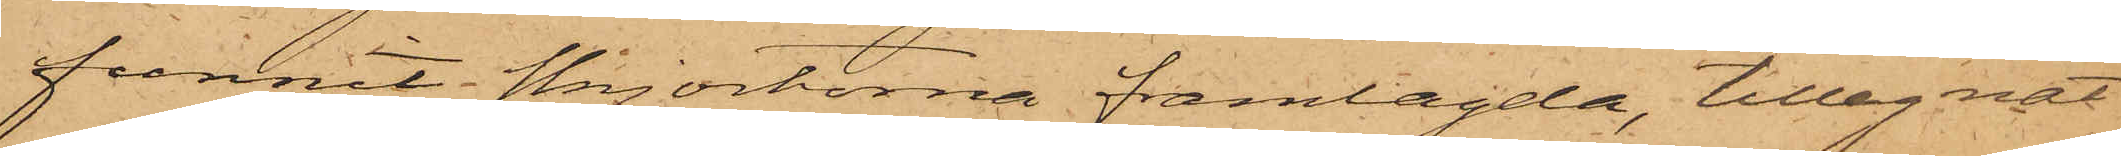funnit skjortorna framlagda, tillegnat
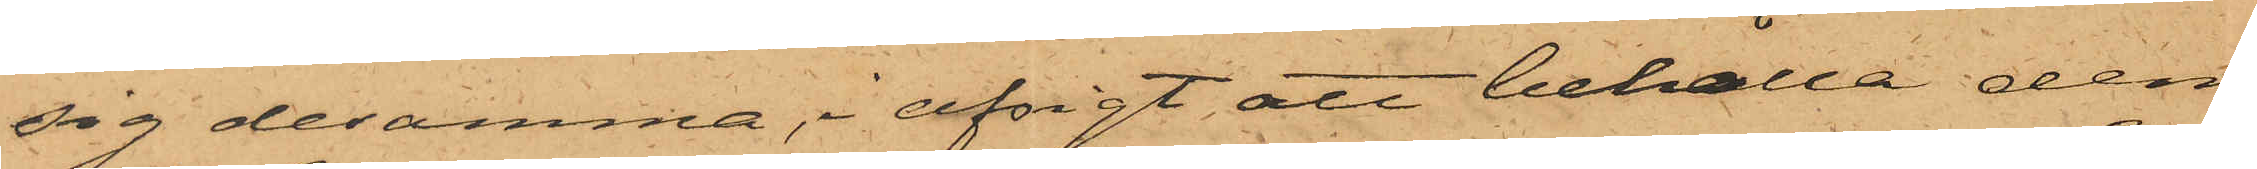sig desamma, i afsigt att behålla dem;
